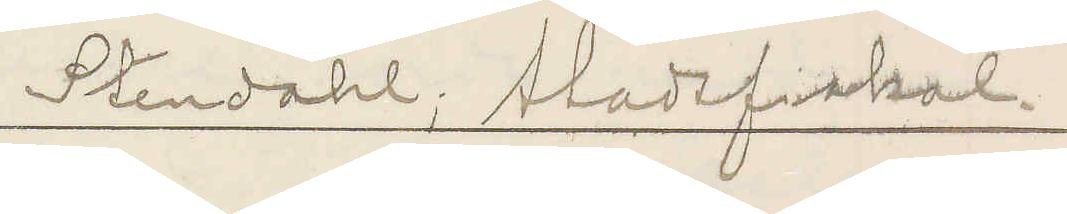Stendahl; stadsfiskal.
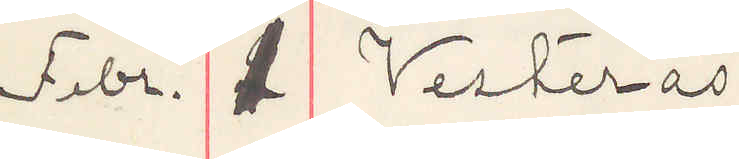Febr. 1 Vesterås
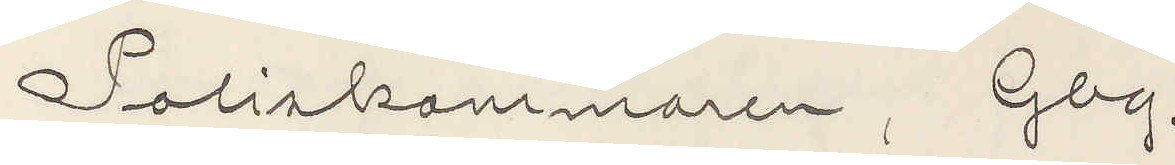Poliskammaren, Gbg.
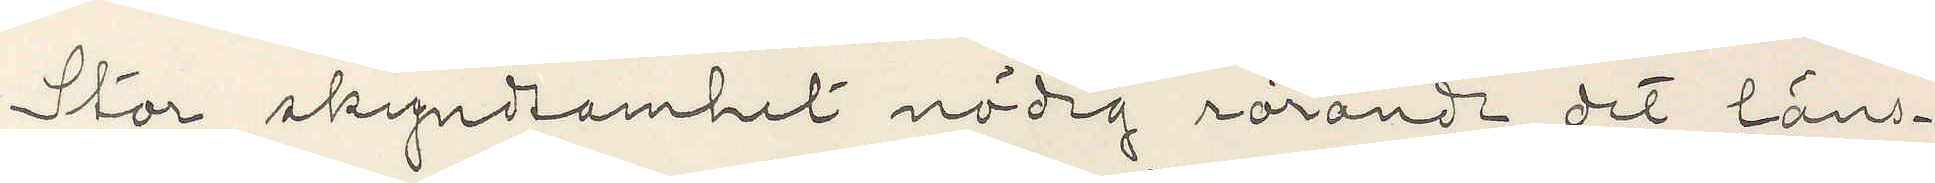Stor skyndsamhet nödig rörande det läns¬
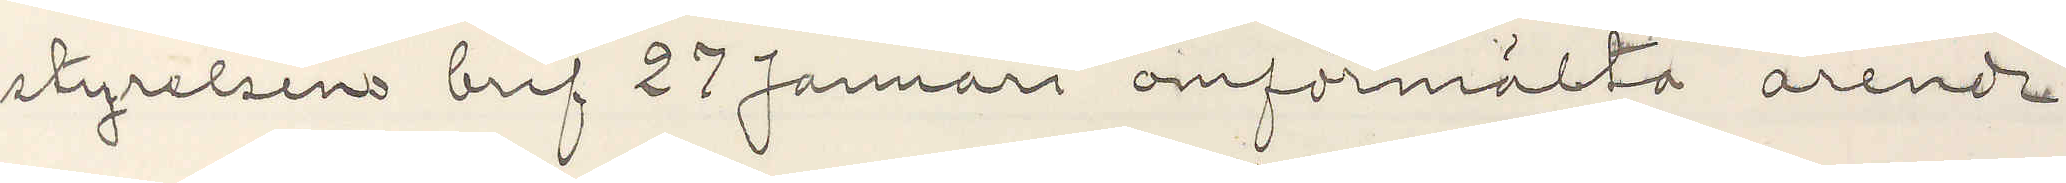styrelsens bref 27 Januari omförmälta ärende
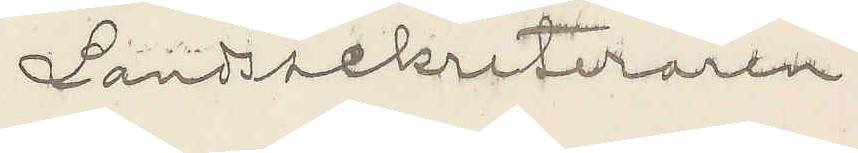Landssekreteraren
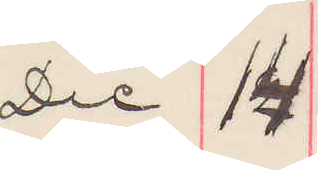Dec 14
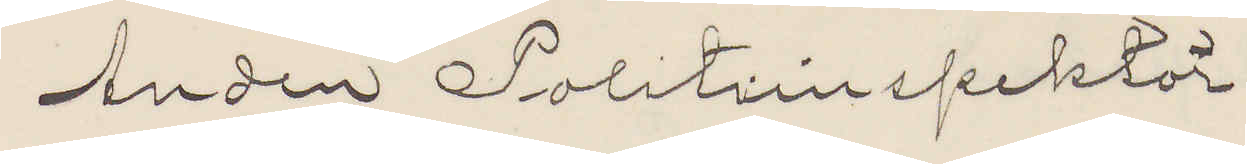Andren Politiinspektör.
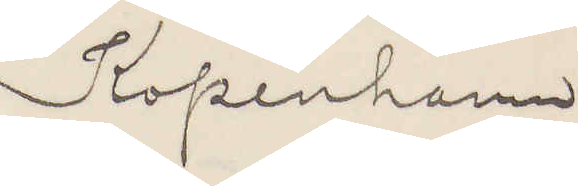Kopenhamn
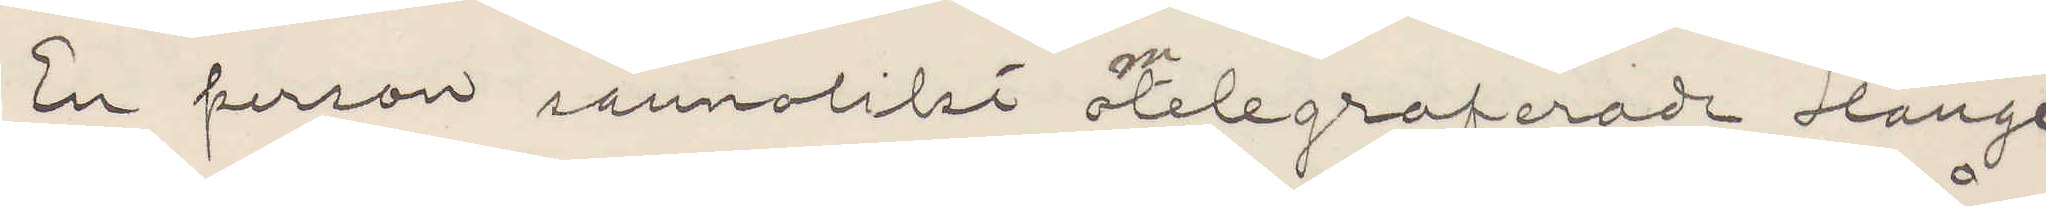En person sannolikt omtelegraferade Hange
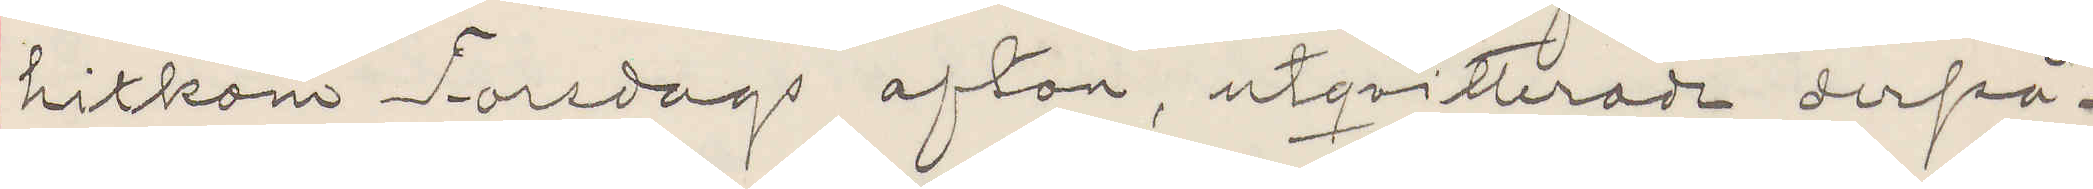hitkom Torsdag afton, utqvitterade derpå¬
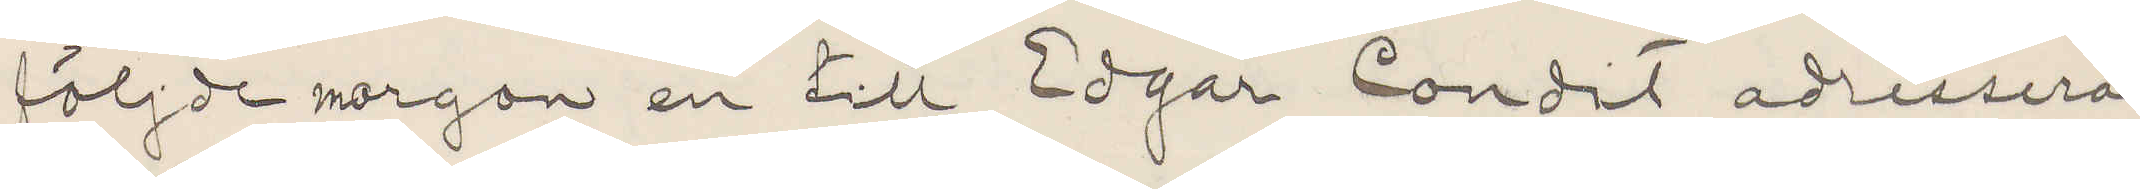följde morgon en till Edgar Condit adresserad
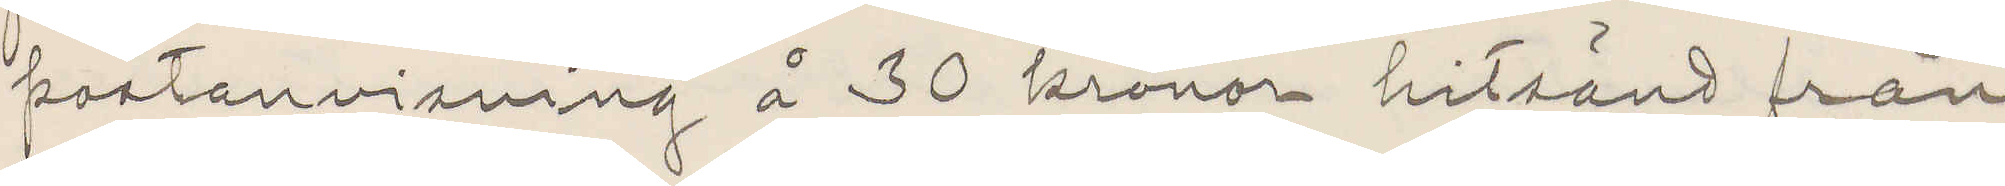postanvisning å 30 kronor hitsänd från
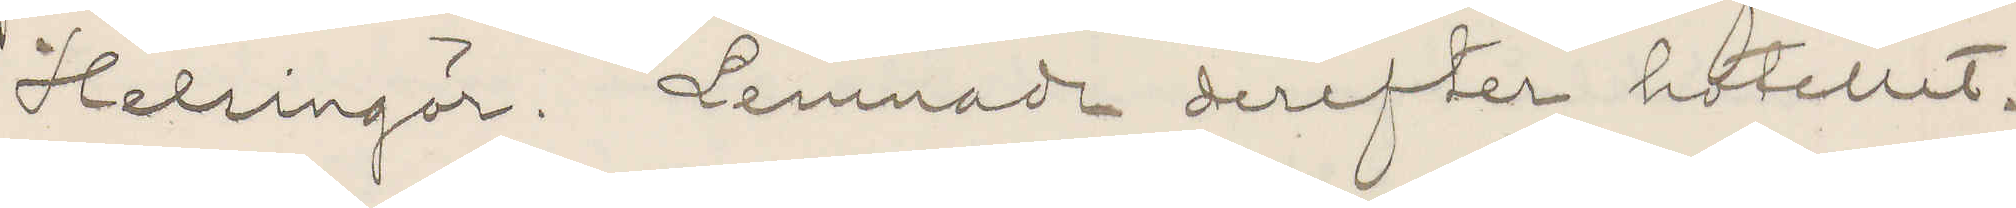Helsingör. Lemnade derefter hotellet.
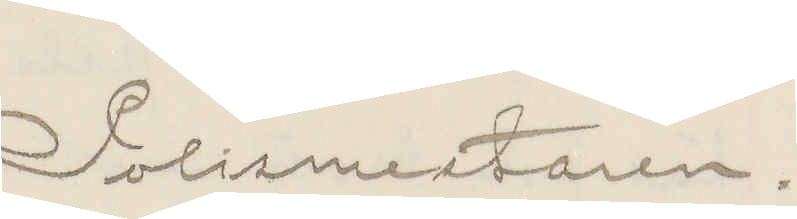Polismestaren.
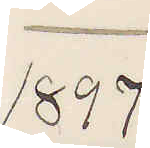1897
